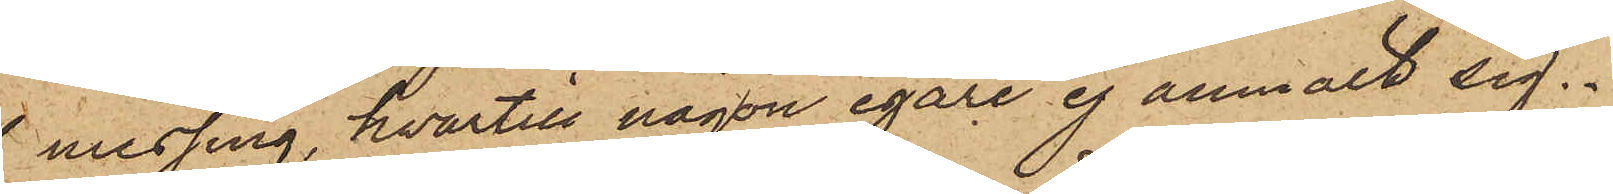messing, hvartill någon egare ej anmält sig.
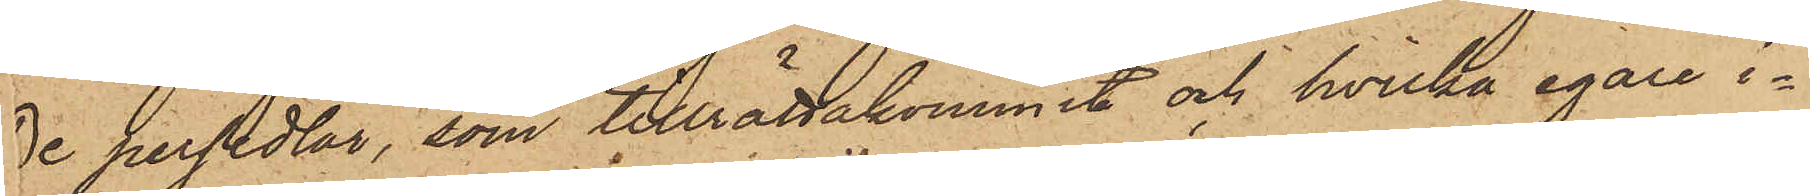De persedlar, som tillrättakommit och hvilka egare i¬
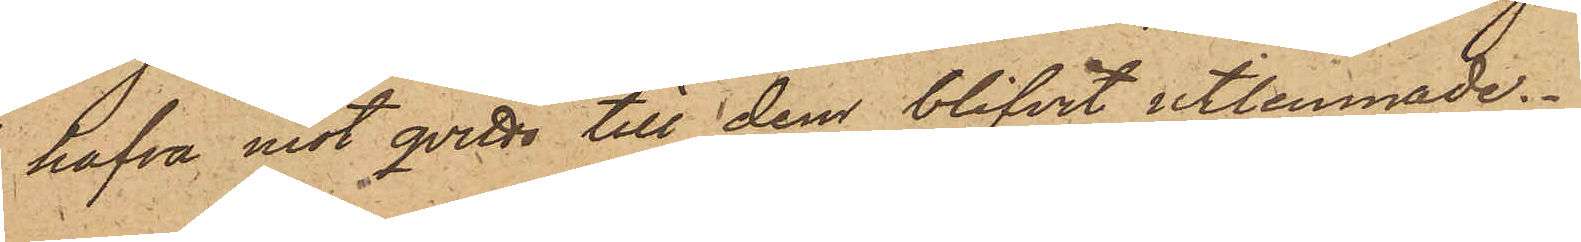hafva mot qvitto till dem blifvit utlemnade.
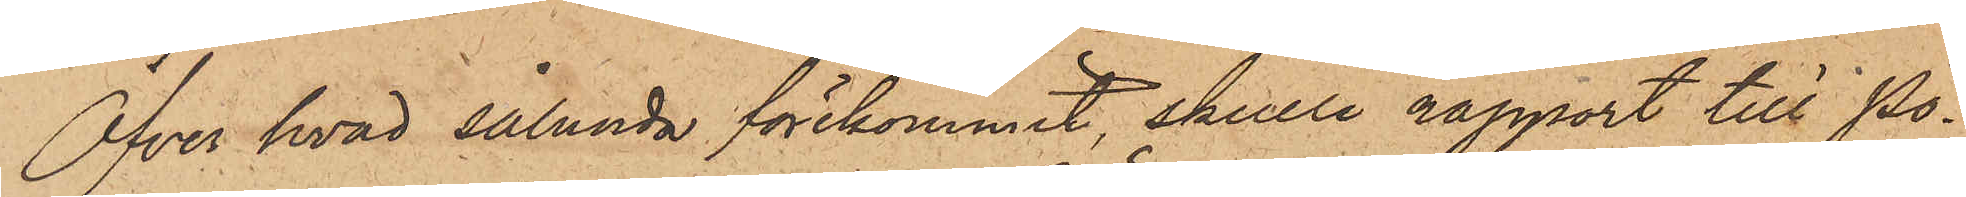Öfver hvad sålunda förekommit, skulle rapport till Po¬
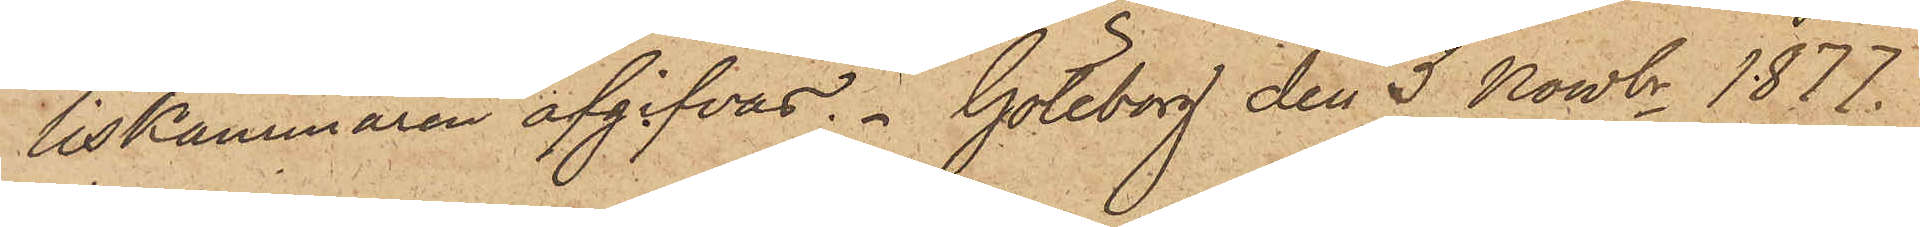liskammaren afgifvas. Göteborg den 5 Nowbr 1877.
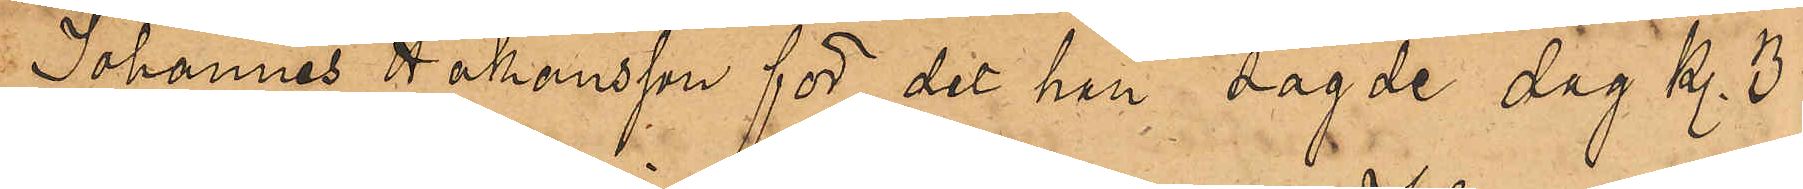Johannes Håkansson för det han sagde dag kl. 3
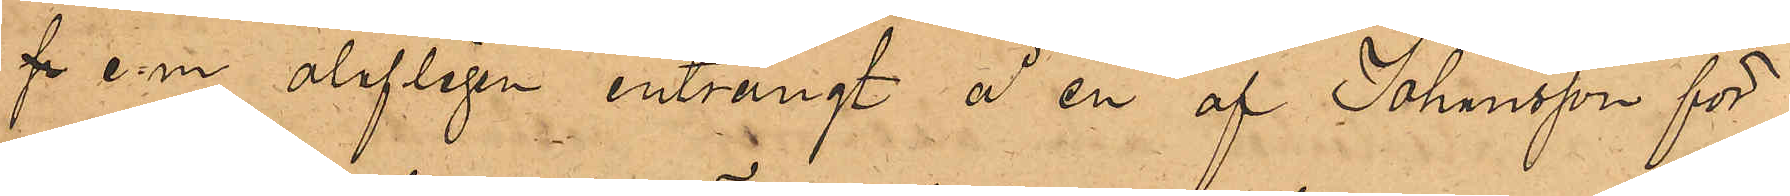f e.m. olofligen inträngt å en af Johansson för¬
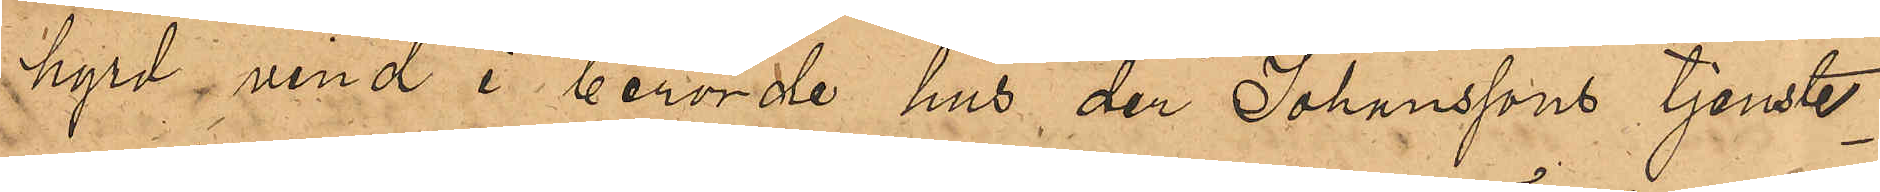hyrd vind i berörde hus, der Johanssons tjenste¬
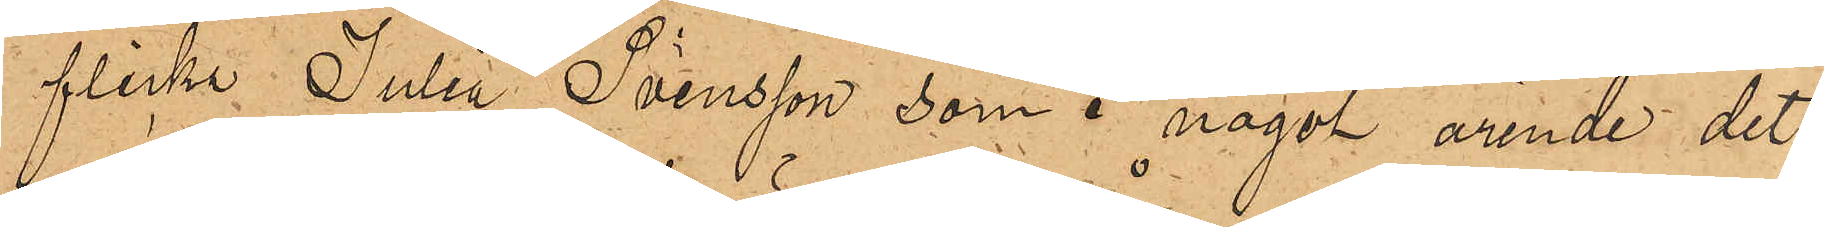flicka Julia Svensson, som i något ärende dit
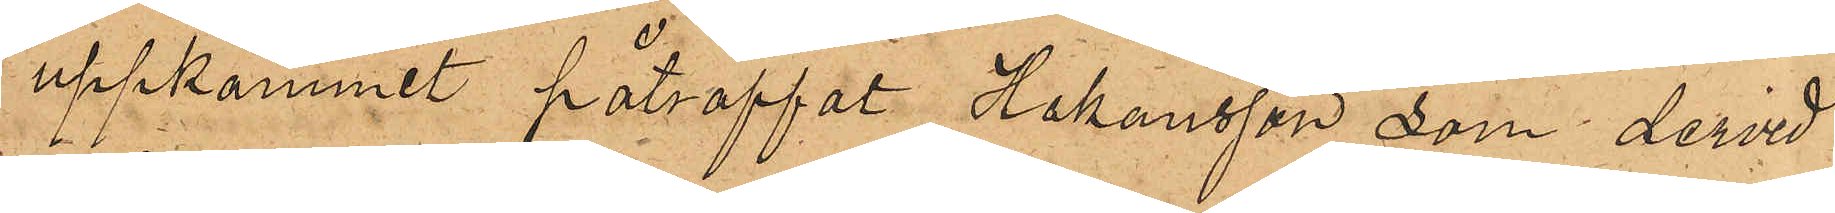uppkommit påträffat Johansson som dervid
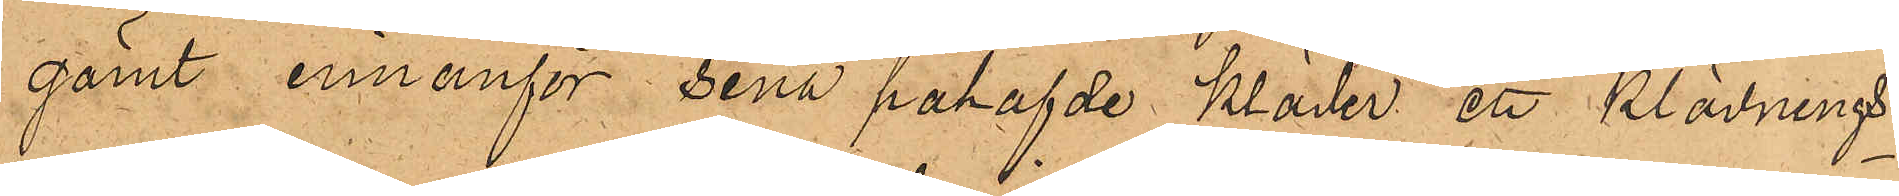gömt innanför sina påhafvde kläder ett klädnings¬
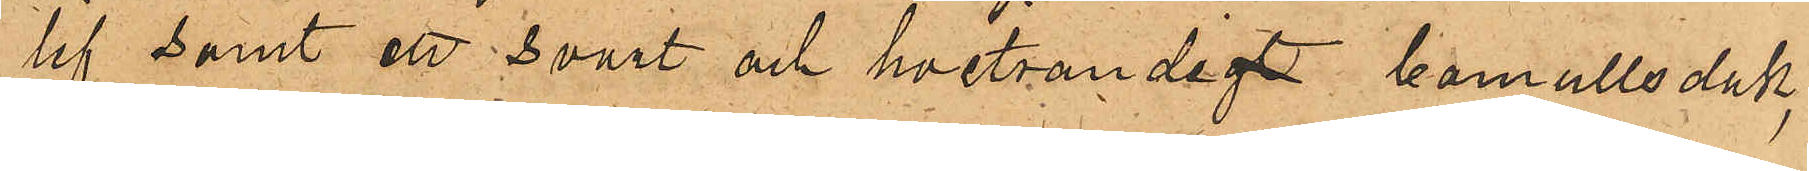lif samt en svart och hvitrandigt bomullsduk,
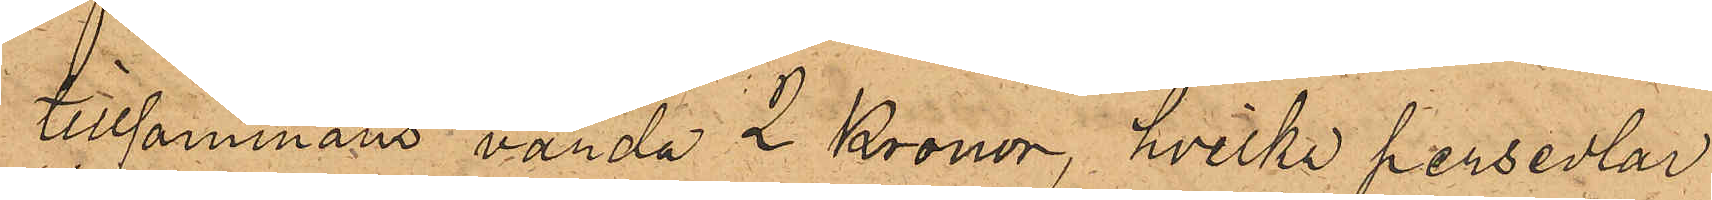tillsammans värda 2 Kronor, hvilka persedlar
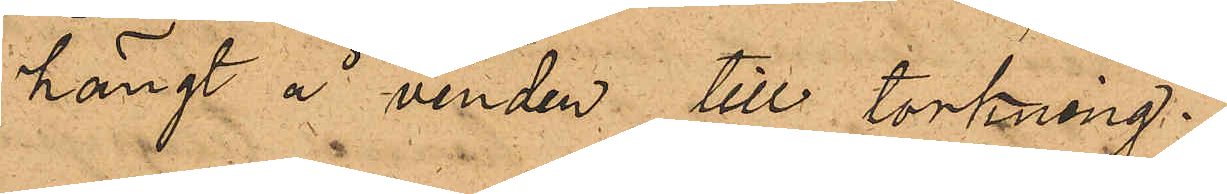hängt å vinden till torkning.
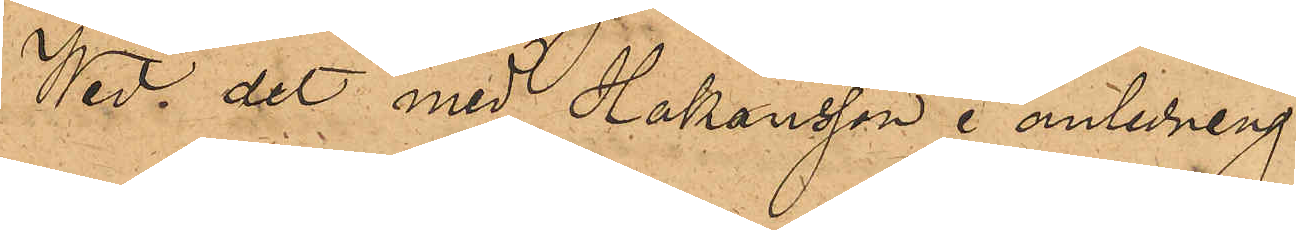Wid det med Johansson i anledning
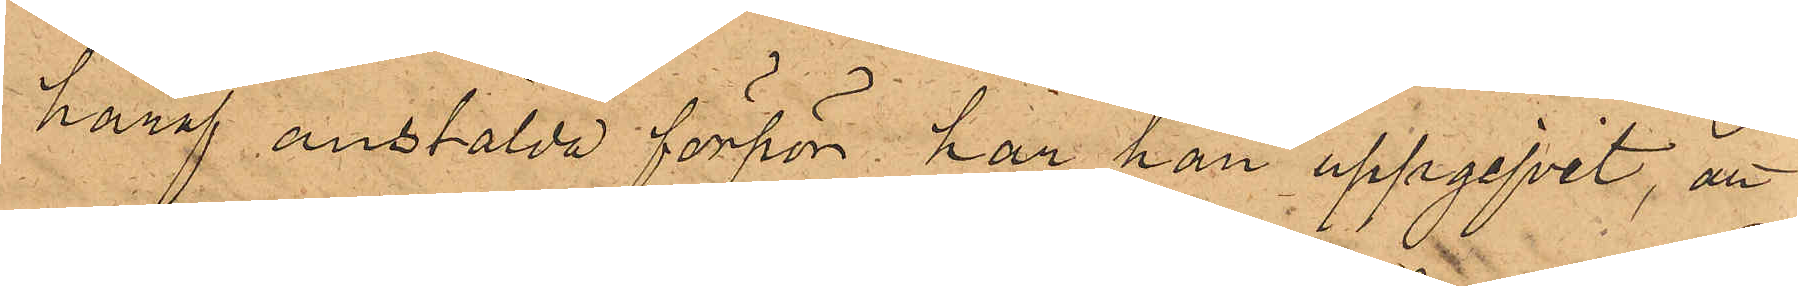häraf anstälda förhör har han uppgifvit, att
